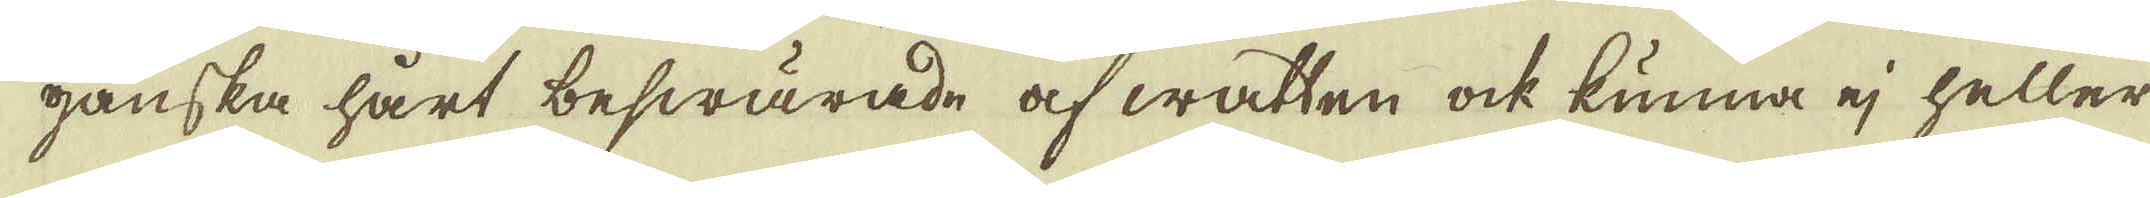ganska hårt beswärade af watten ock kunna ej heller
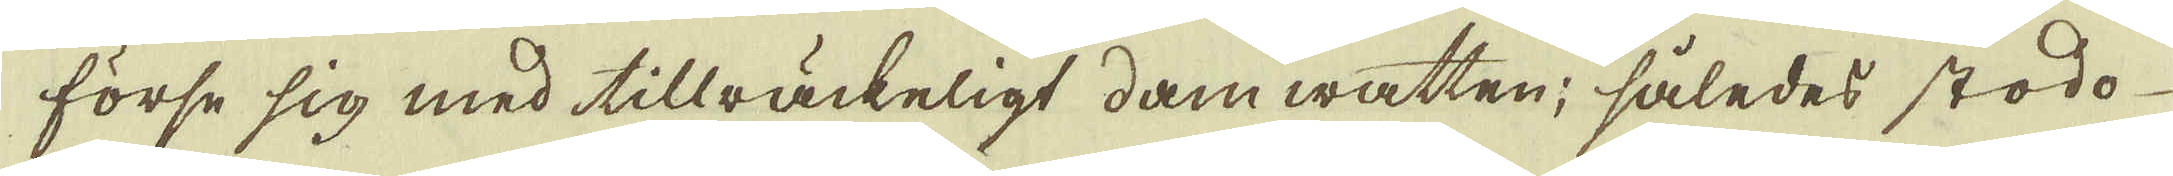förse sig med tillräckeligt dam watten; således stodo
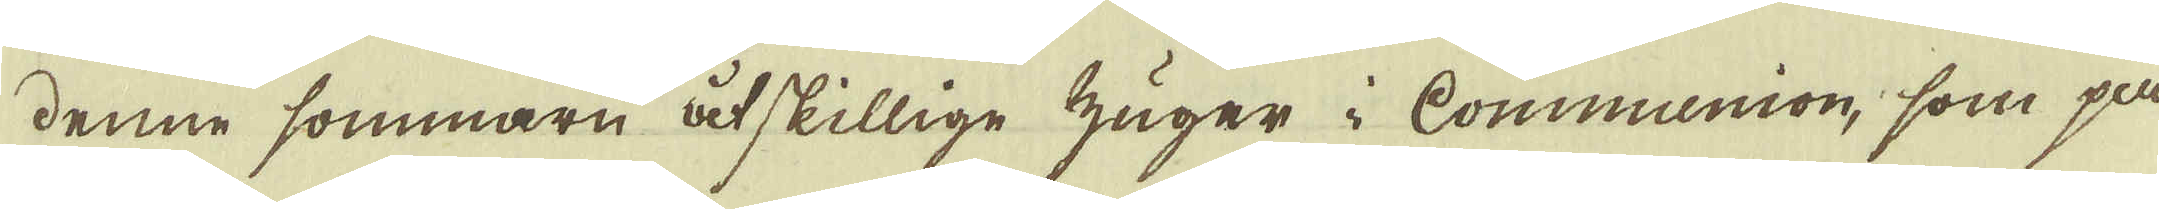denne sommarn åtskillige zuger i Communion, som på
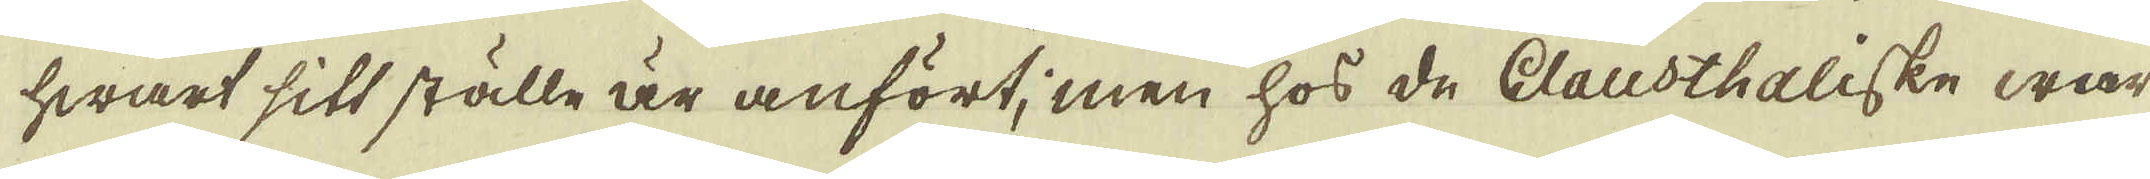hwart sitt ställe är anfört; men hos de Clausthaliske war
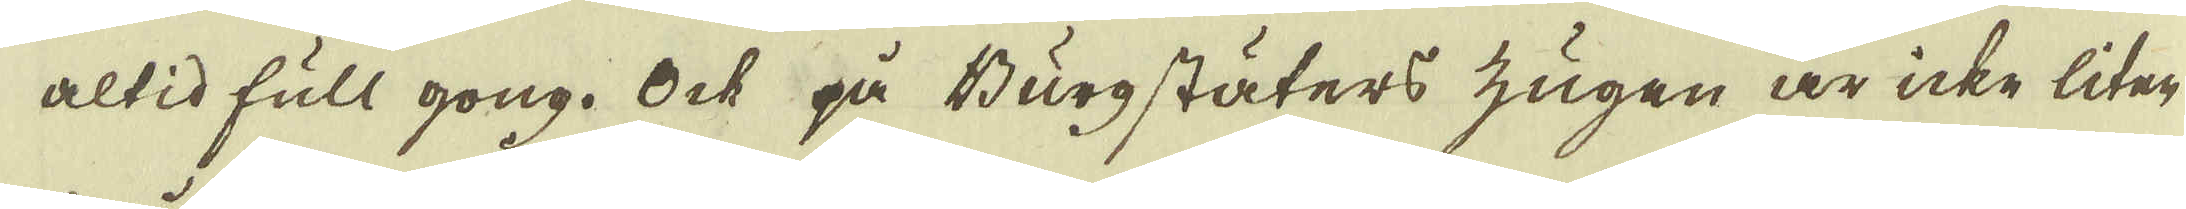altid full gong. Ock på Burgstäters zugen är icke liten
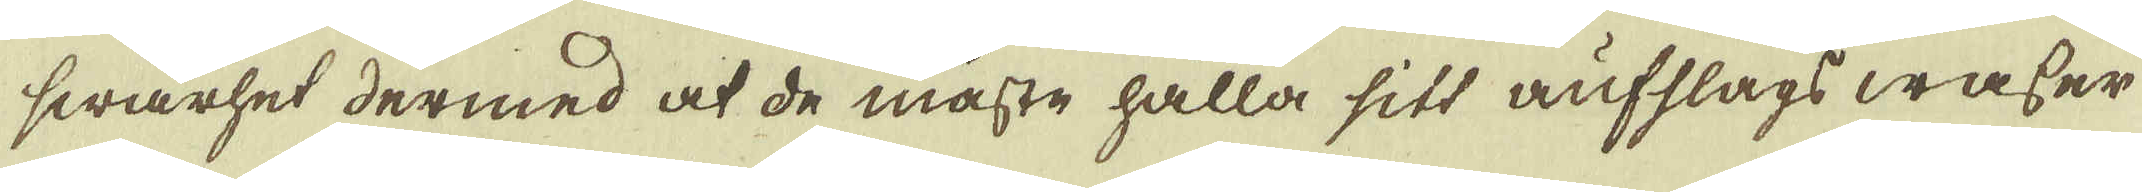swårhet dermed at de måste hålla sitt aufslags waser
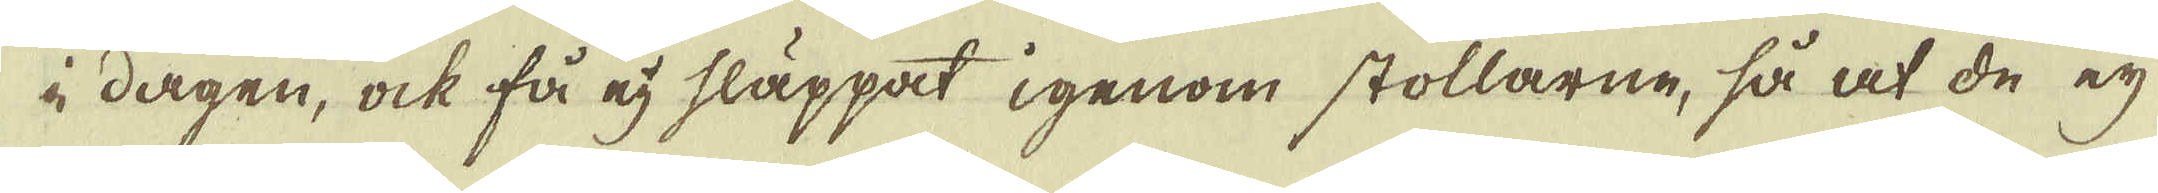i dagen, ock få ej släppat igenom stollarne, så at de ej
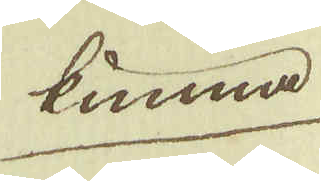kunna
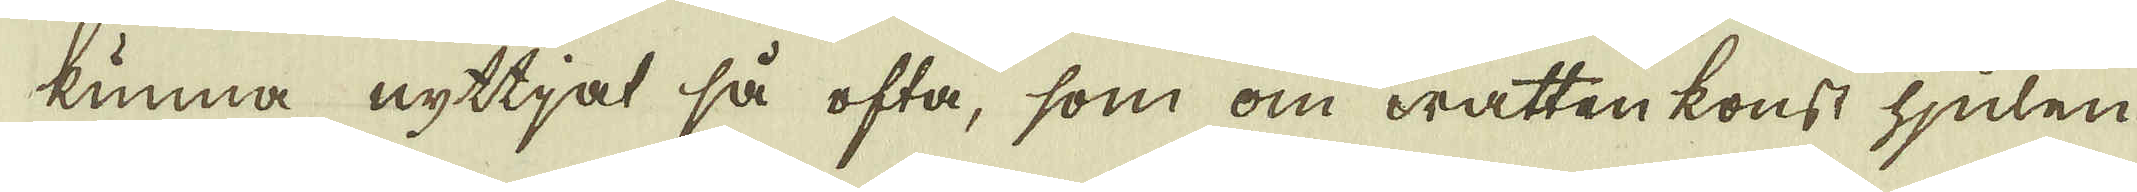kunna nyttjat så ofta, som om watten konst hjulen
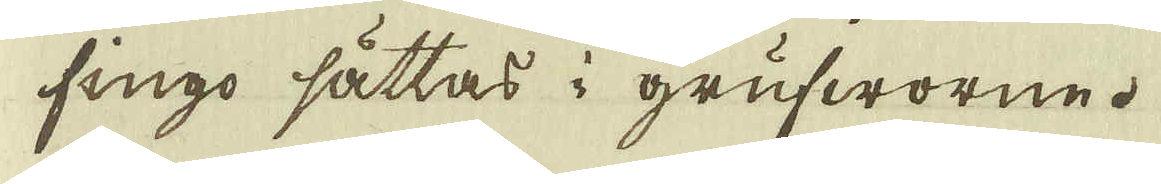fingo sättas i grufworne.
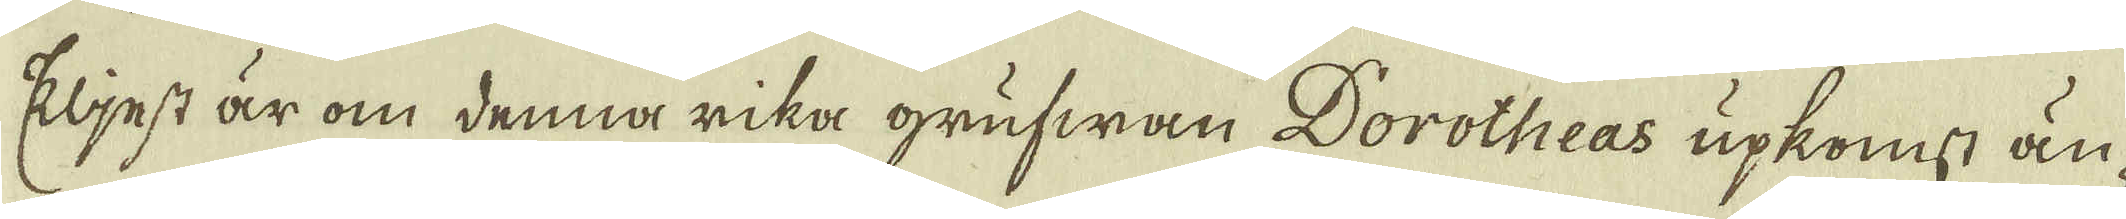Eljest är om denna rika grufwan Dorotheas upkomst än-
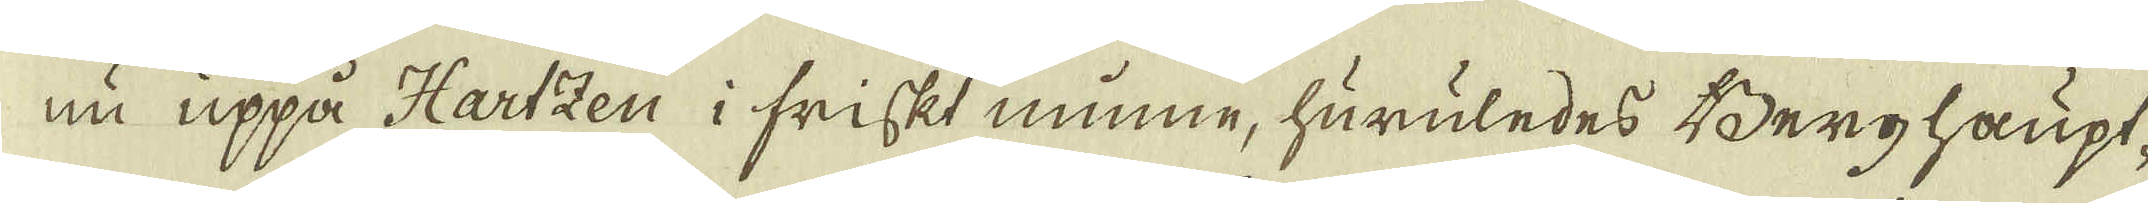nu uppå Hartzen i friskt minne, huruledes Berghaupt-
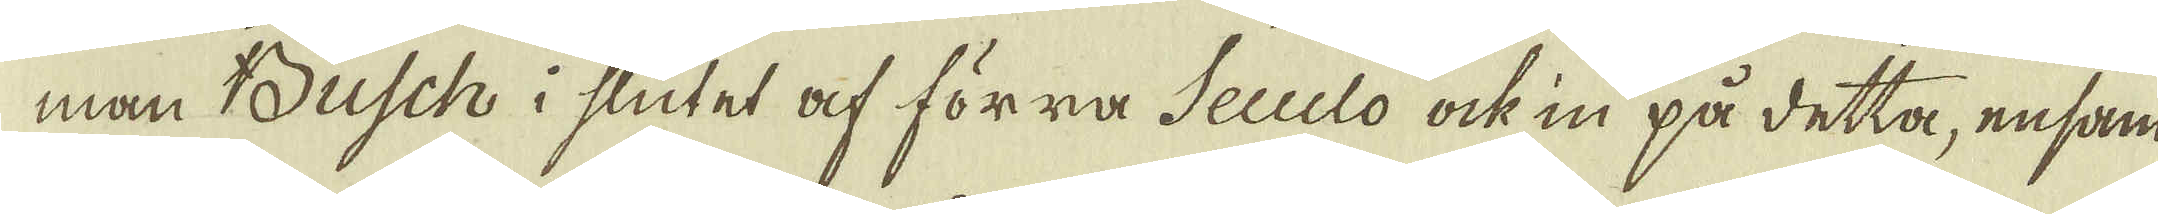man Busch i slutet af förra Seculo ock in på detta, ensam
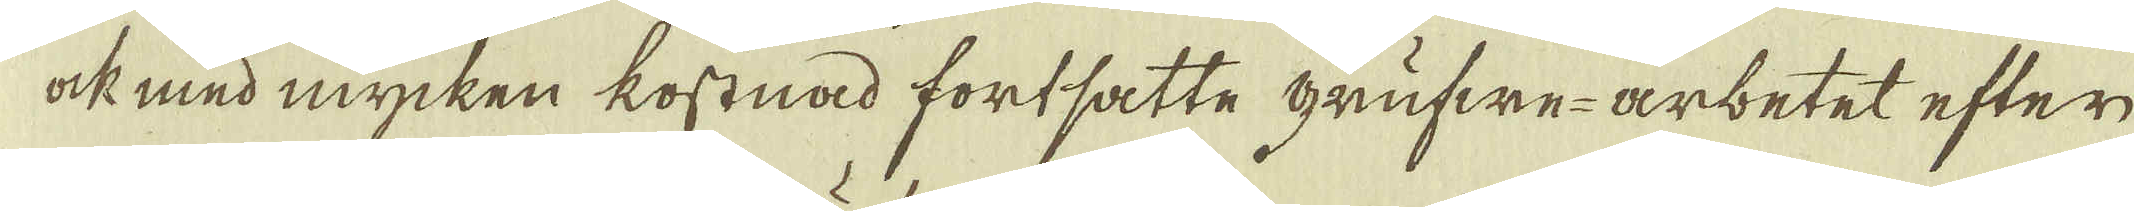ock med mycken kostnad fortsatte grufwe-arbetet efter
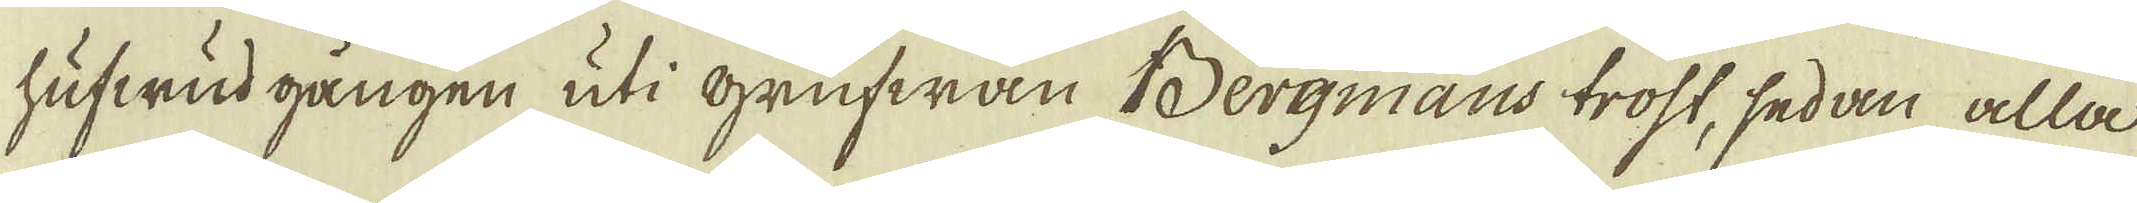hufwud gången uti Grufwan Bergmans trost, sedan alla
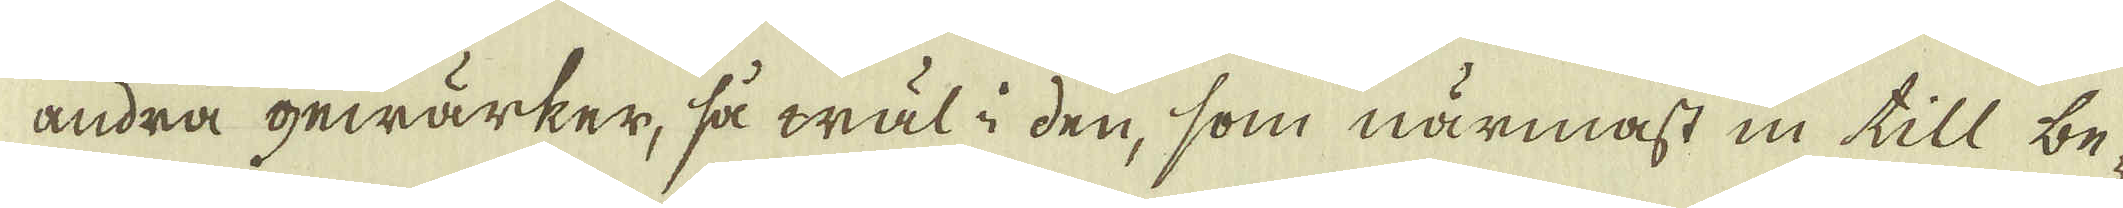andra gewärker, så wäl i den, som närmast in till be-
